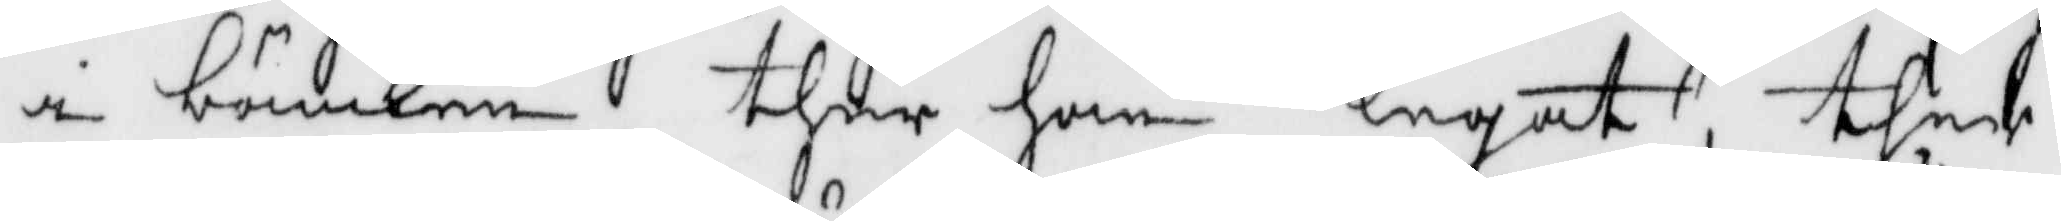i bänken ther han legat, ther
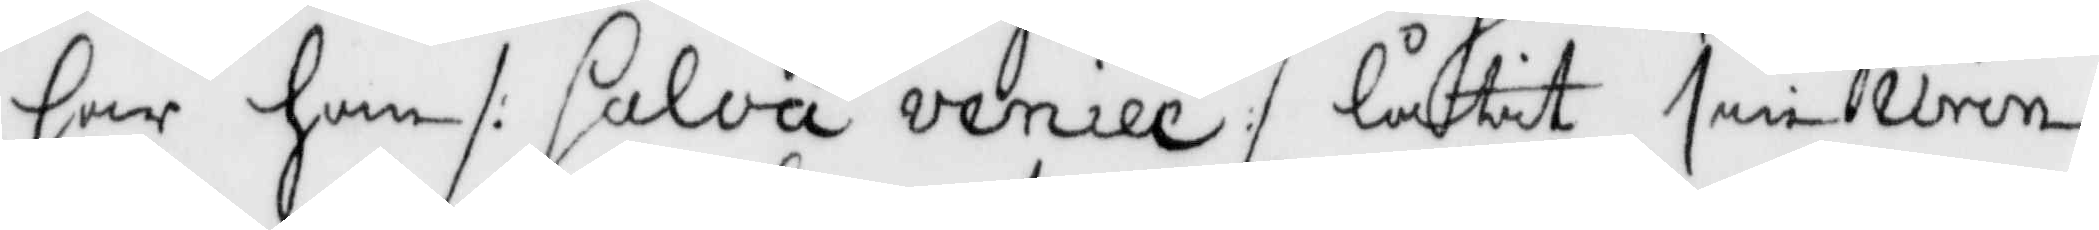har han /:salva veniel :/ låtit sin urin
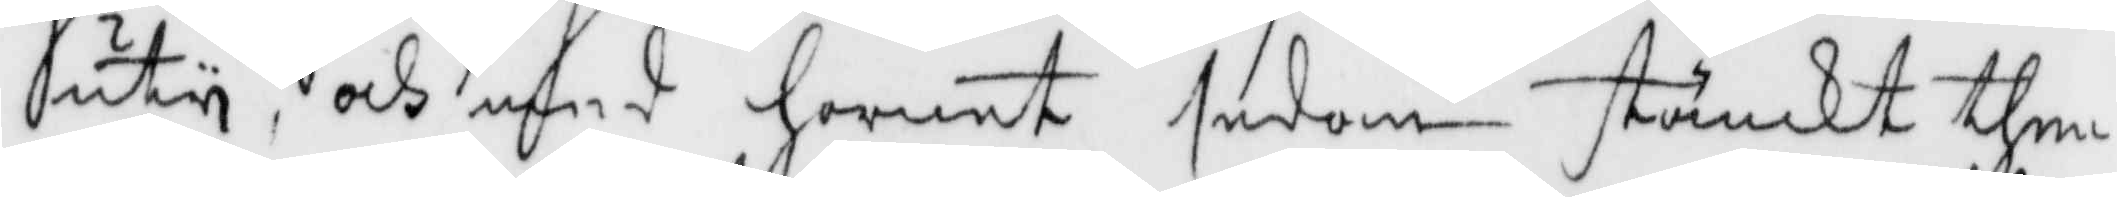uty, och med hornet sedan stänkt then
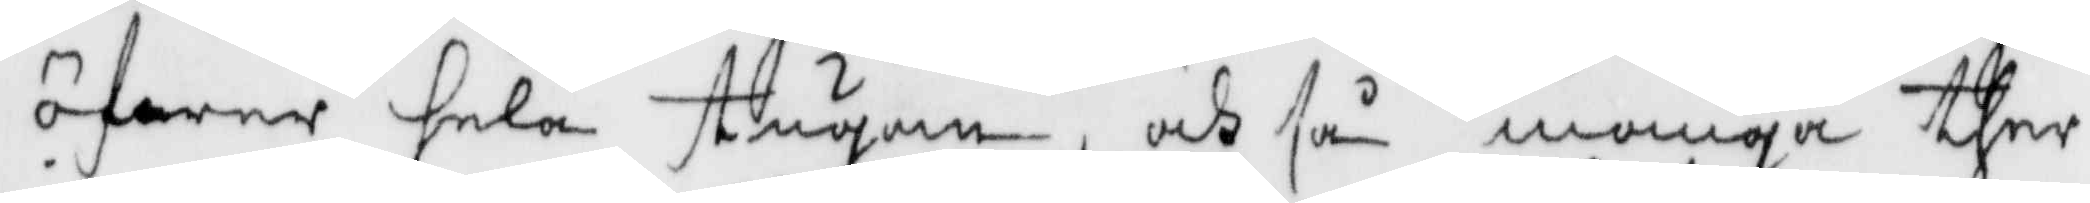öfwer hela stugan, och så många ther
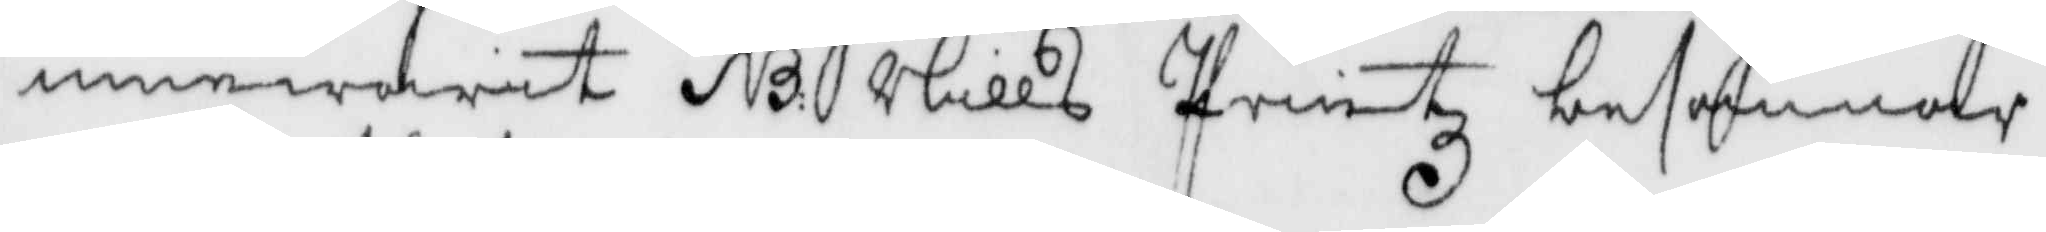innewarit NB: Nills Printz besannar
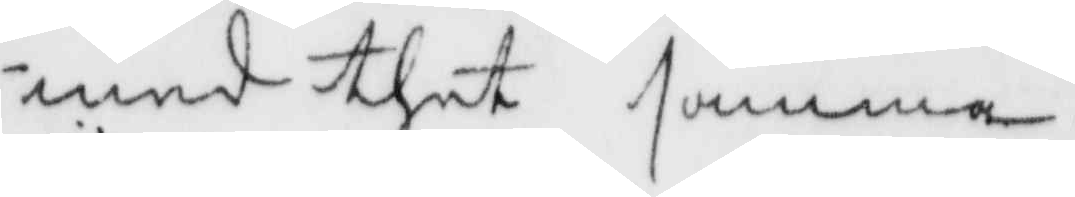med ther samma.
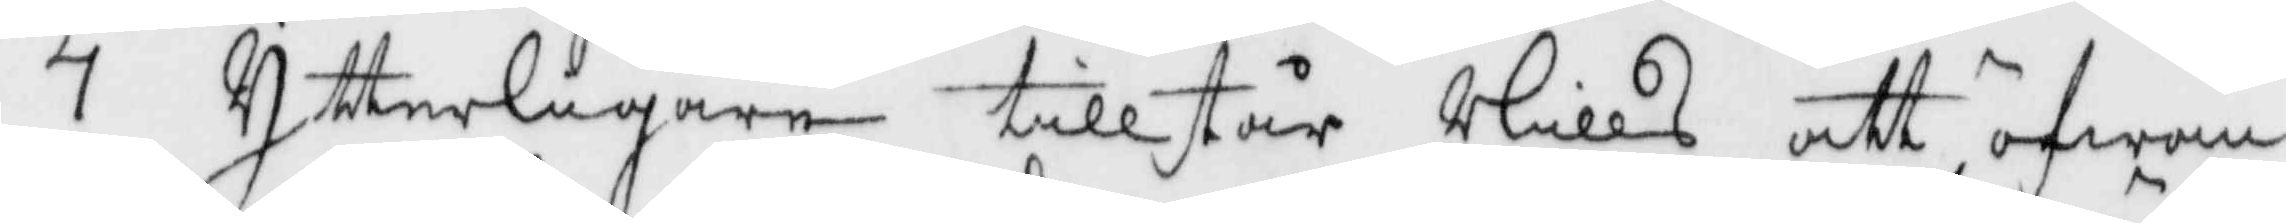7 Ytterligare tillstår Nills att öfwan¬
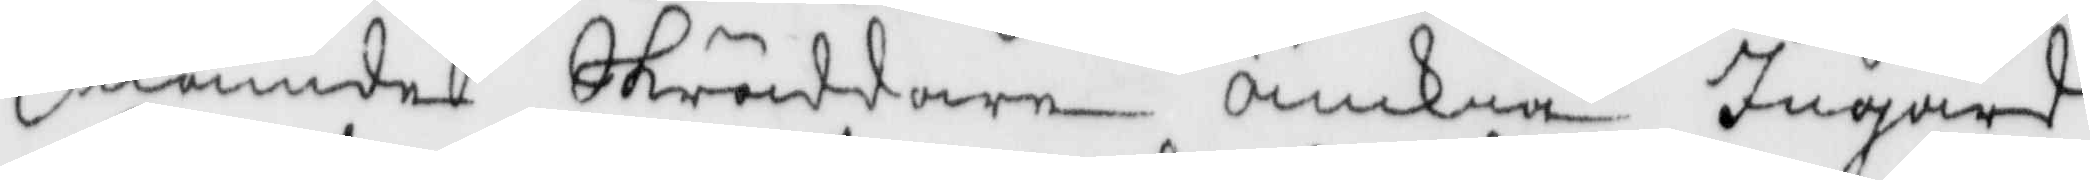nämde skräddare änkia Ingärd
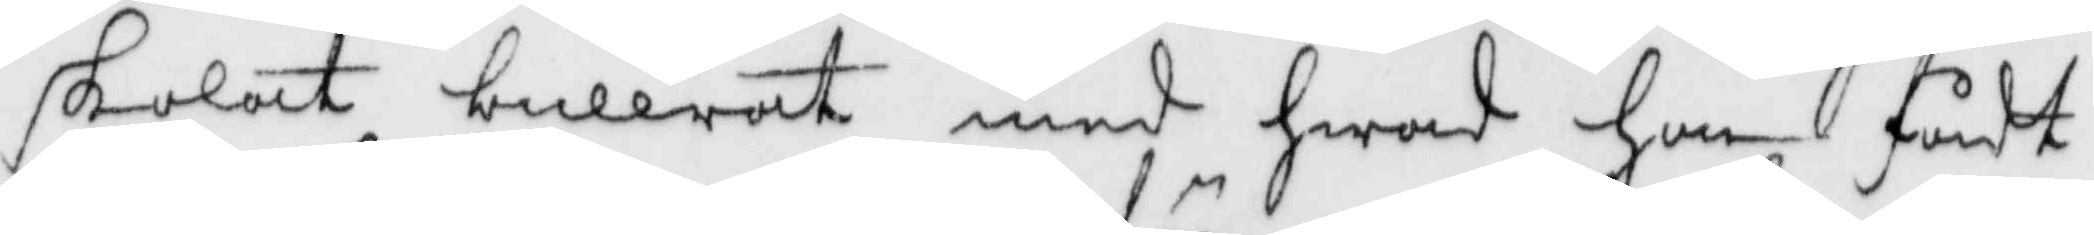skolat bullrat med hwad hon fådt
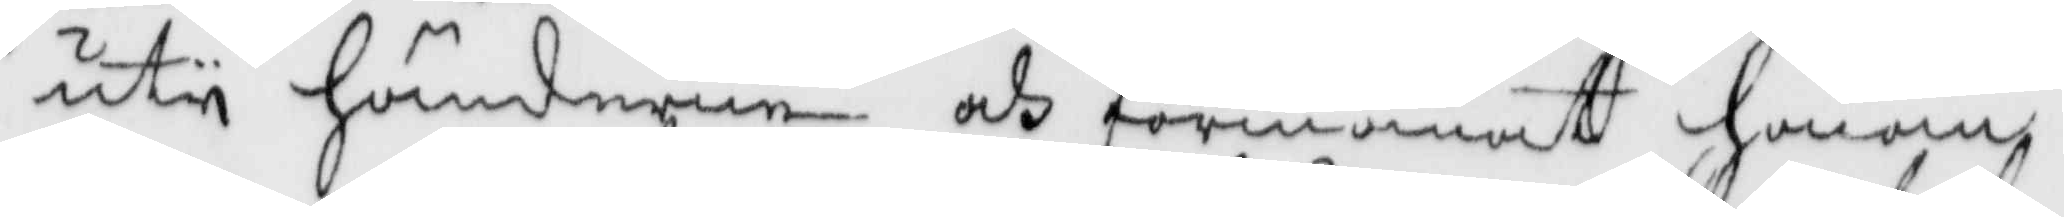uty händerne och förmanat honom
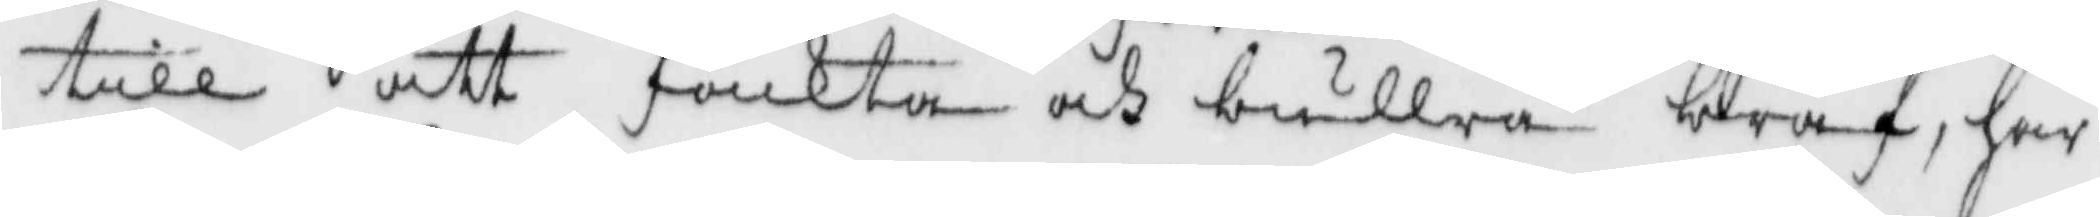till att fäckta och bullra braf, har
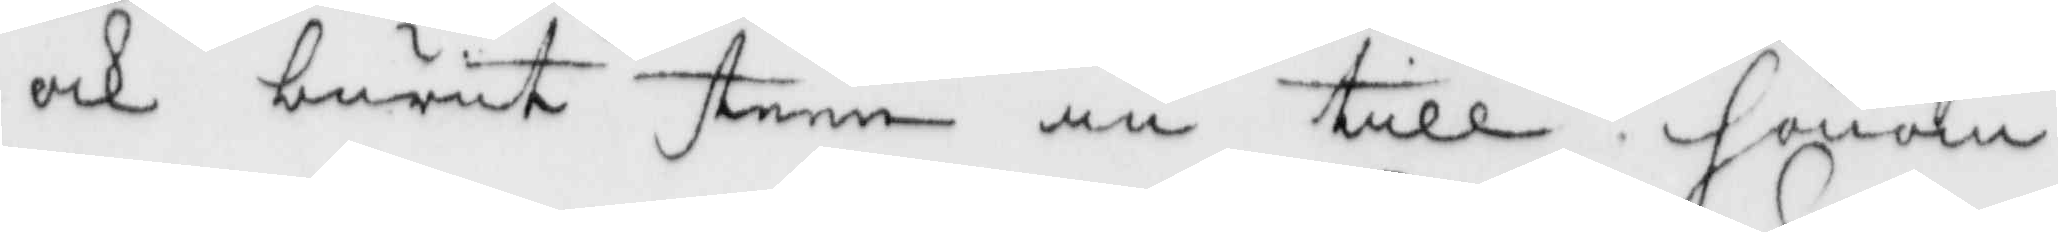och burit steen in till honom
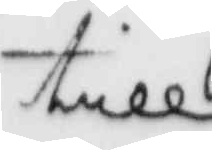till
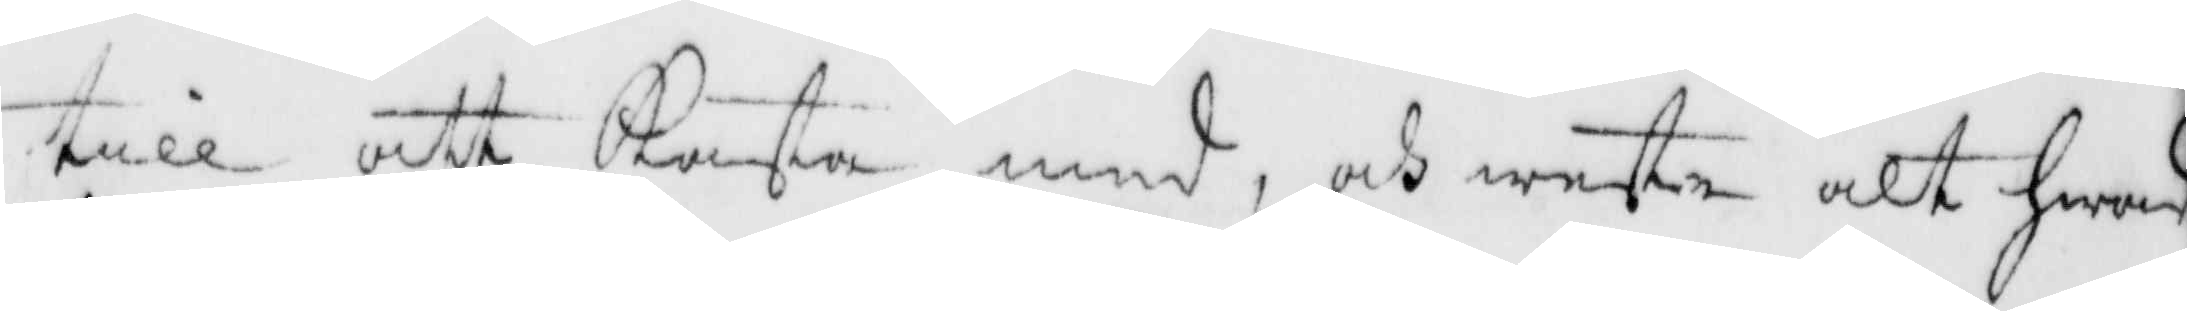till att kasta med, och wete alt hwad
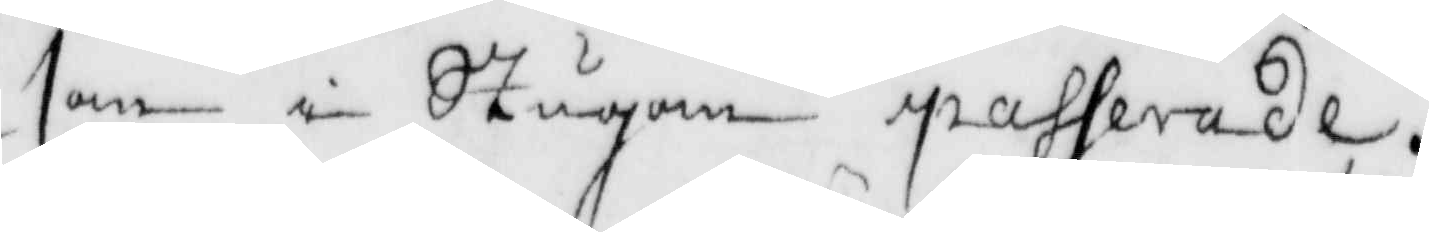som i stugan passerade.
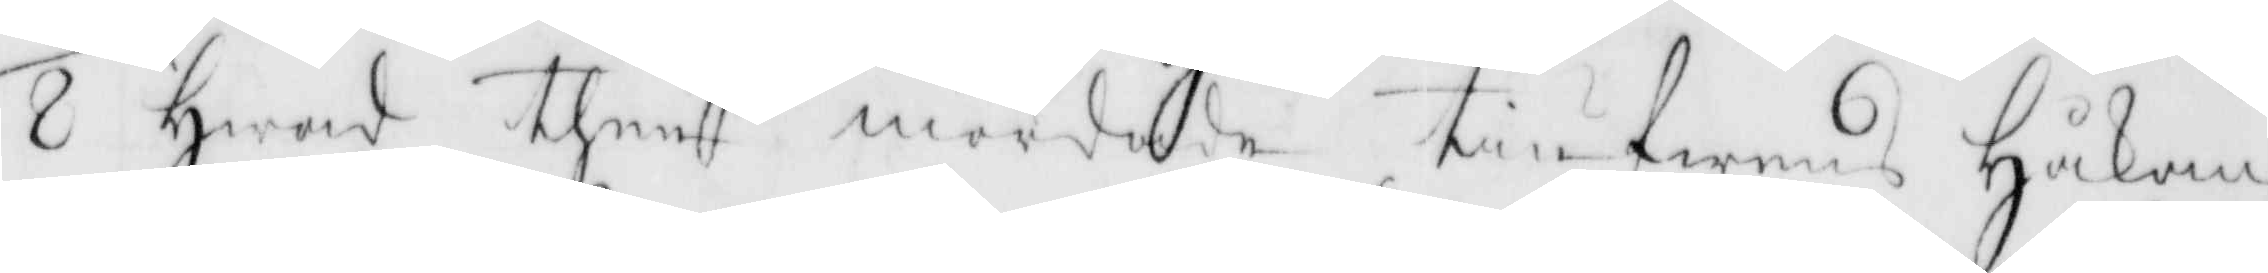8 Hwad then mördade tiufwens Håkan
